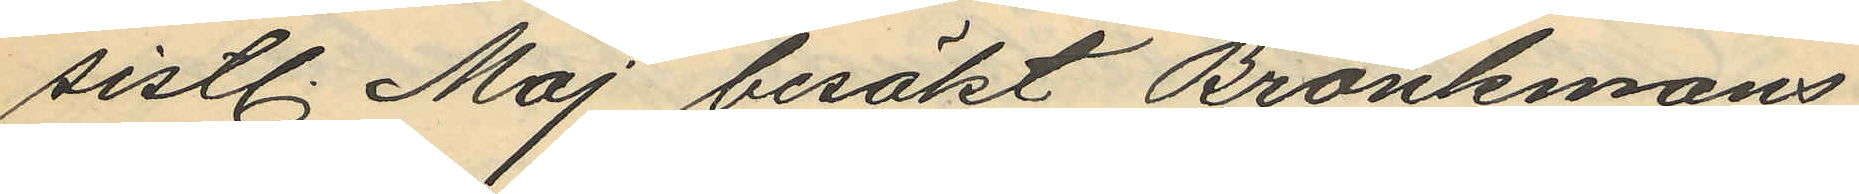sistl. Maj besökt Bränkmans
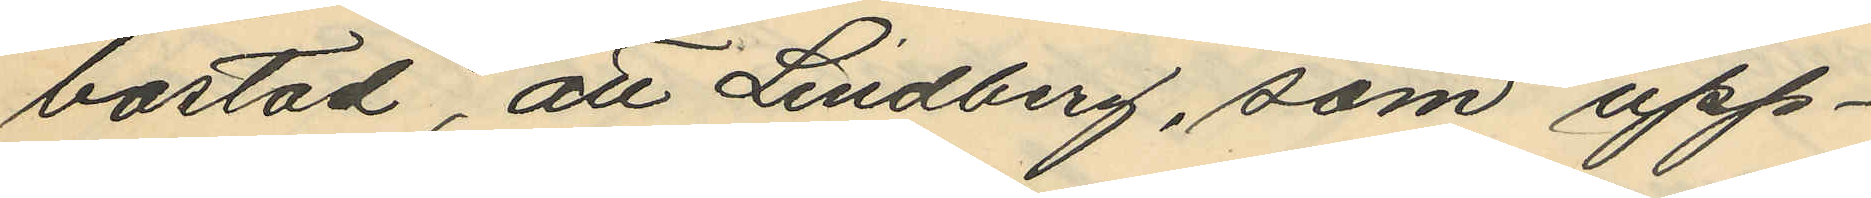bostad, att Lindberg, som upp¬
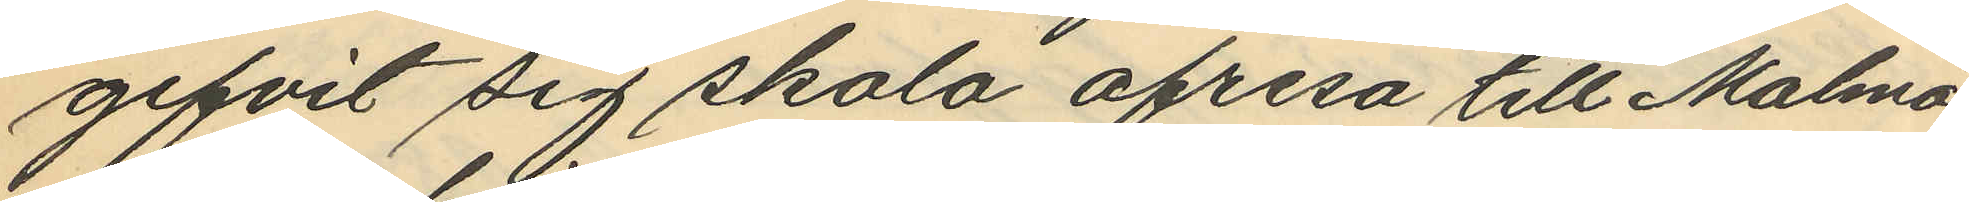gifvit sig skola afresa till Malmö,
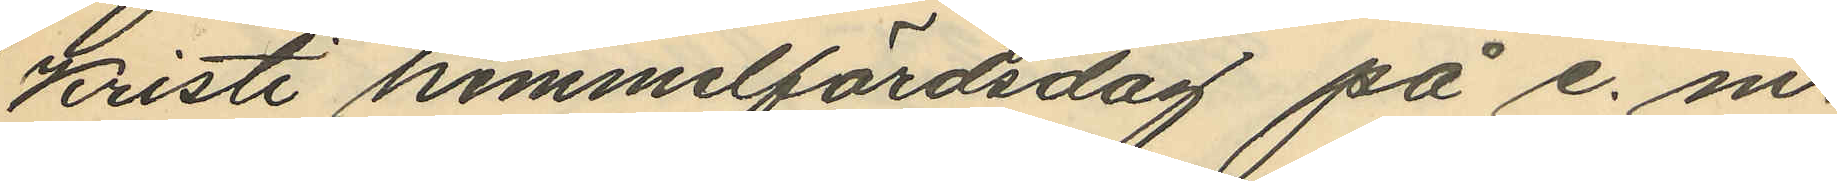Kristi himmelfärdsdag på e. m.
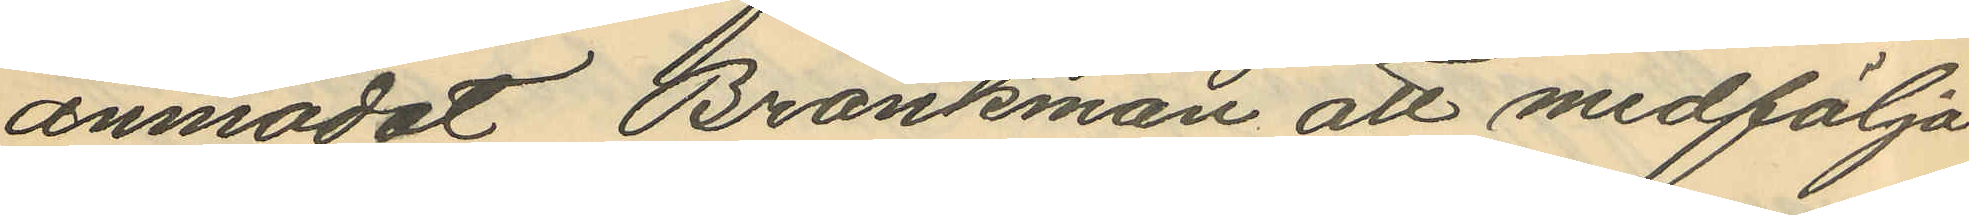anmodat Bränkman att medfölja
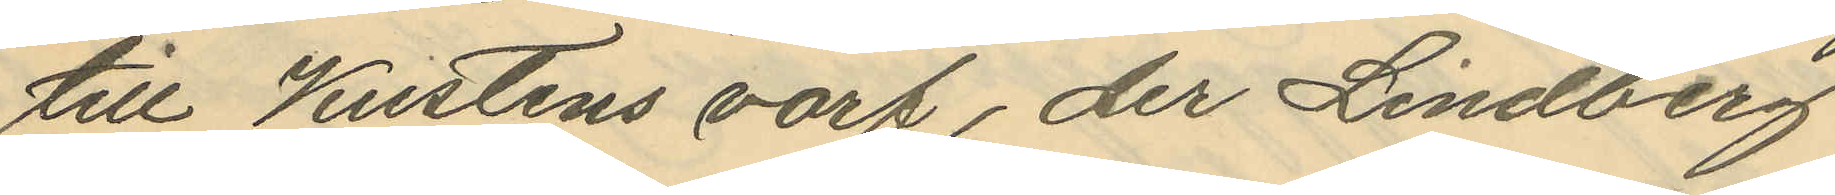till Kustens varf, der Lindberg
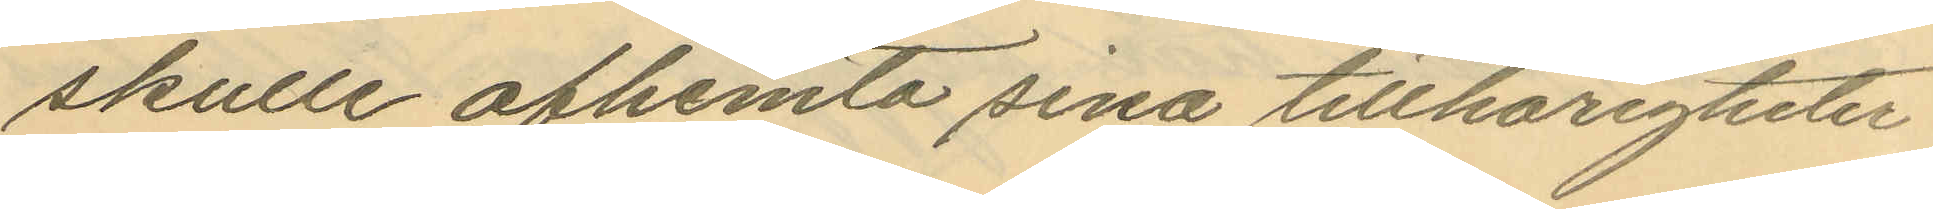skulle afhemta sina tillhörigheter
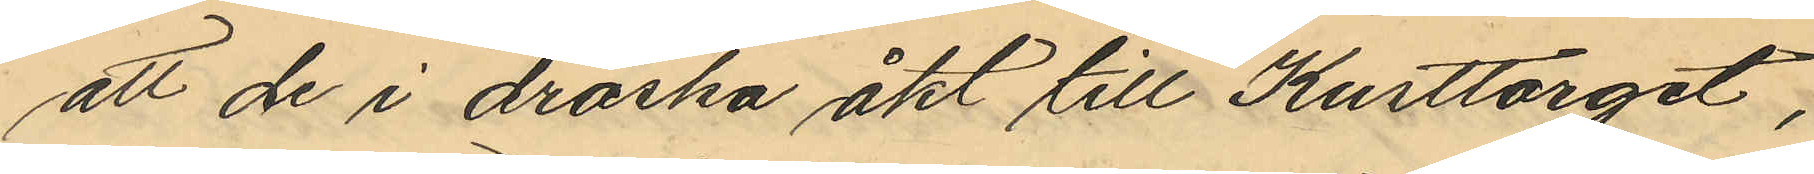att de i droska åkt till Kusttorget,
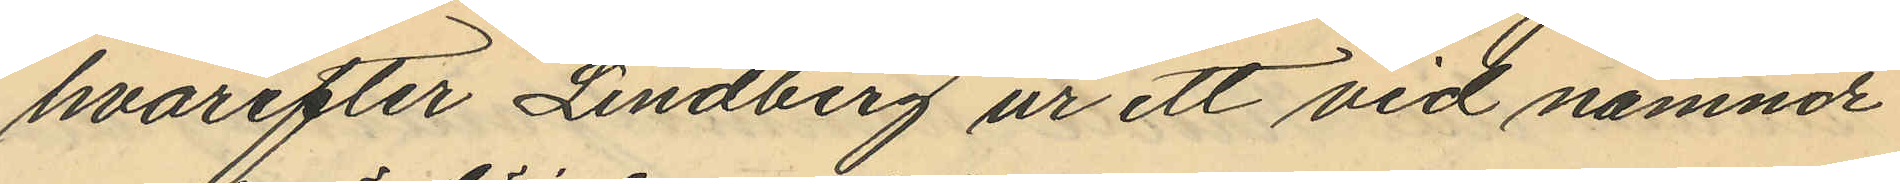hvarefter Lindberg ur ett vid nämnde
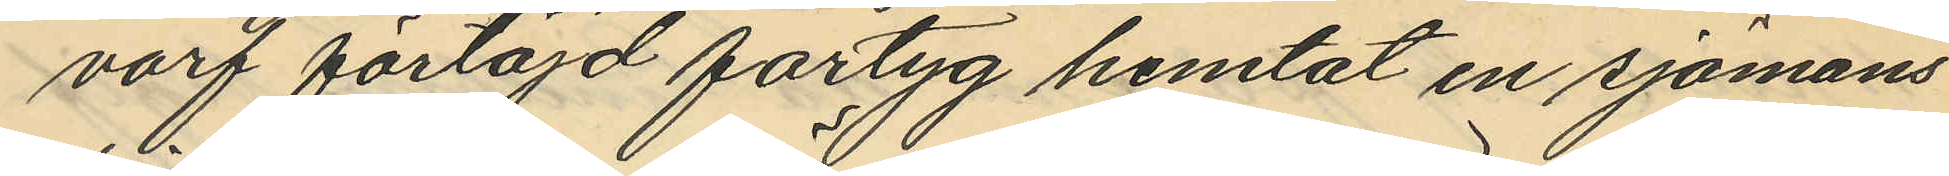varf förtöjd fartyg hemtat en sjömans
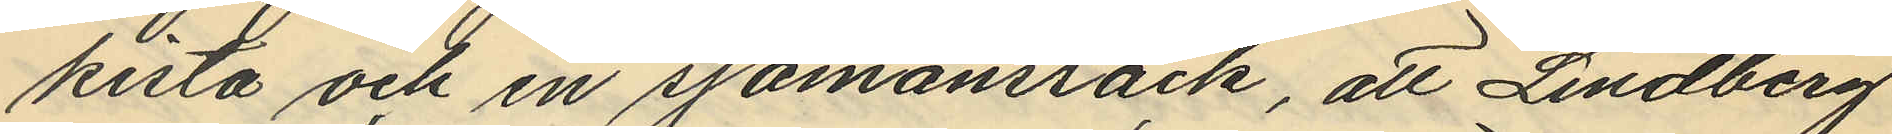kista och en sjömansräck, att Lindberg
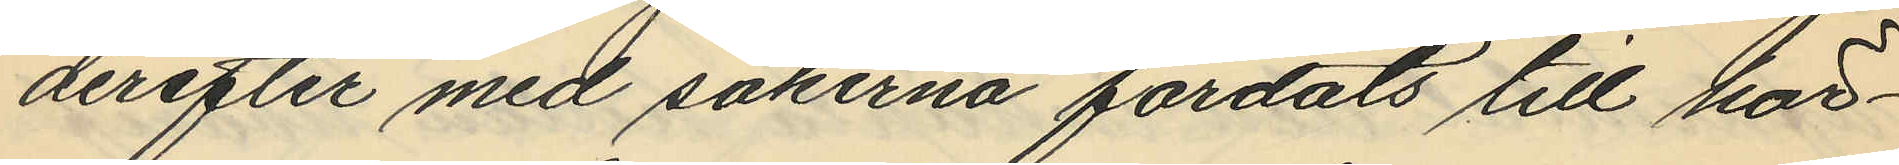derefter med sakerna färdats till här¬
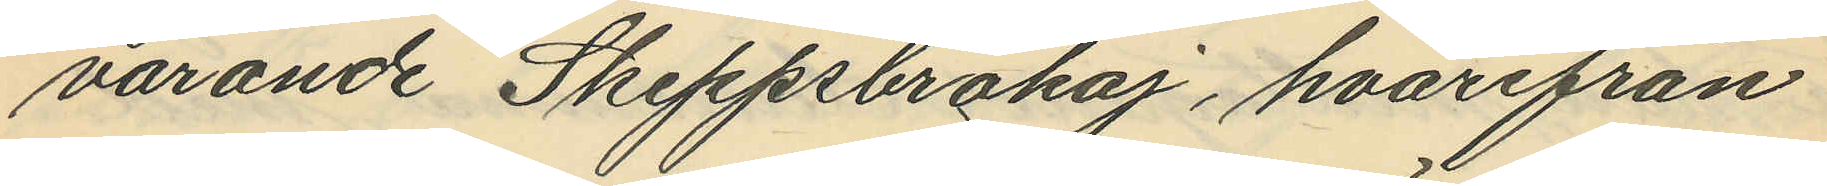varande Skeppsbrokaj, hvarifrån
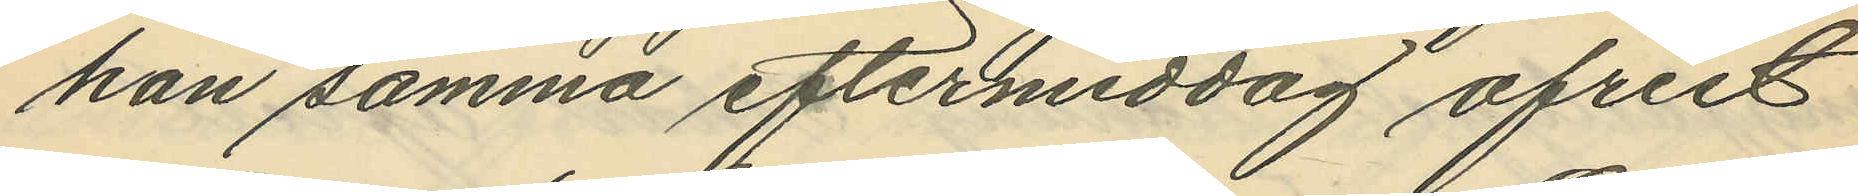han samma eftermiddag afrest
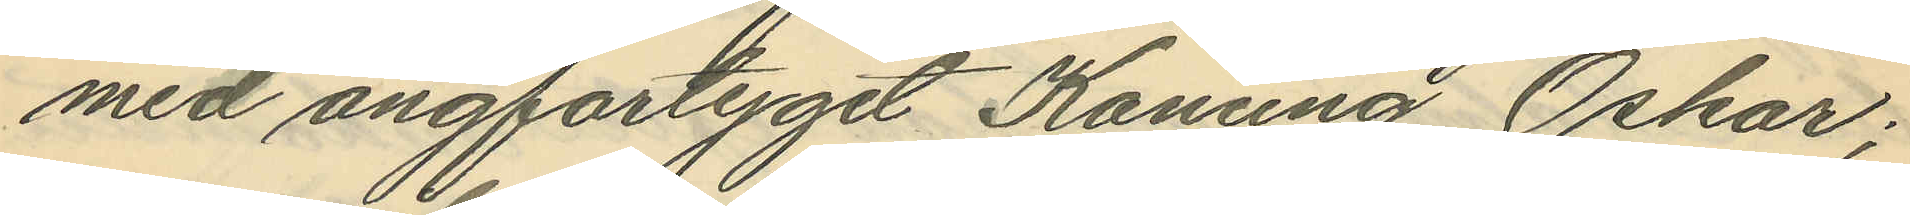med ångfartyget Konung Oskar;
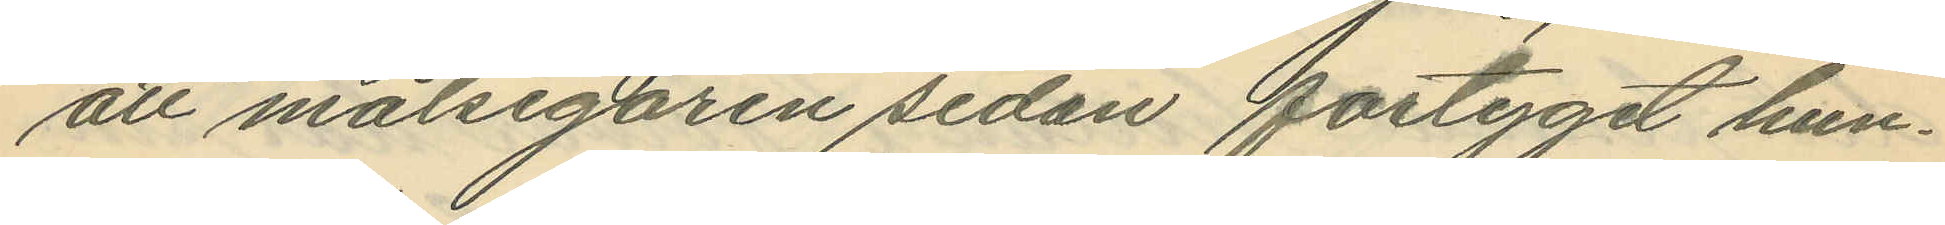att målsegaren sedan fartyget hun¬
